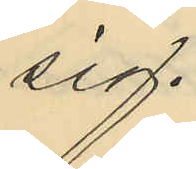sig.
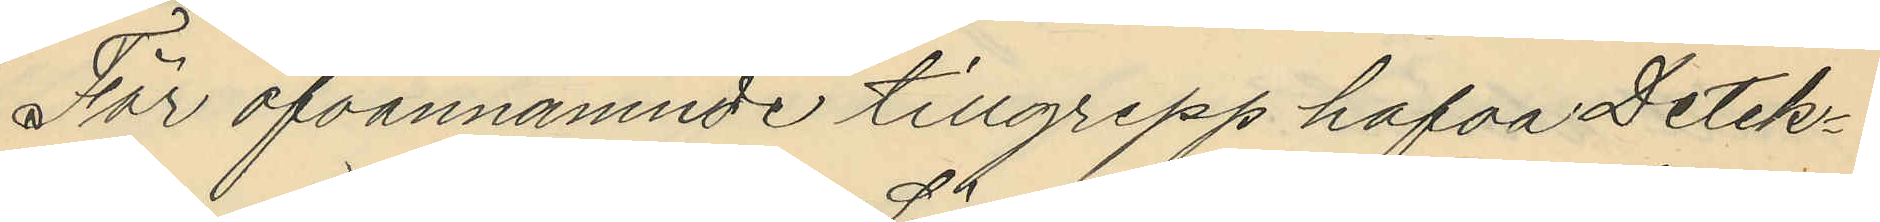För ofvannämnde tillgrepp hafva Detek¬
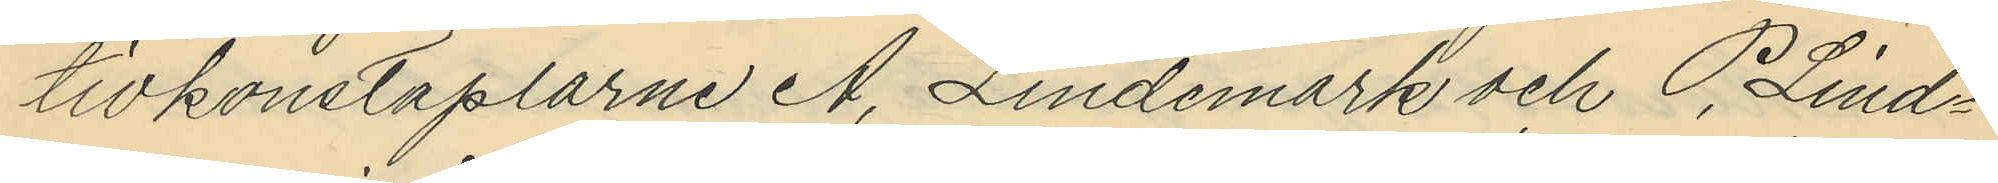tivkonstaplarne A. Lindemark och P. Lind¬
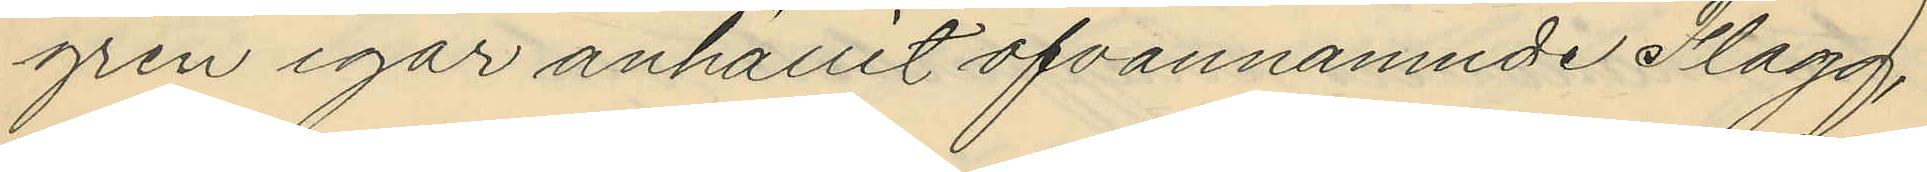gren igår anhållit ofvannämnde Flagg,
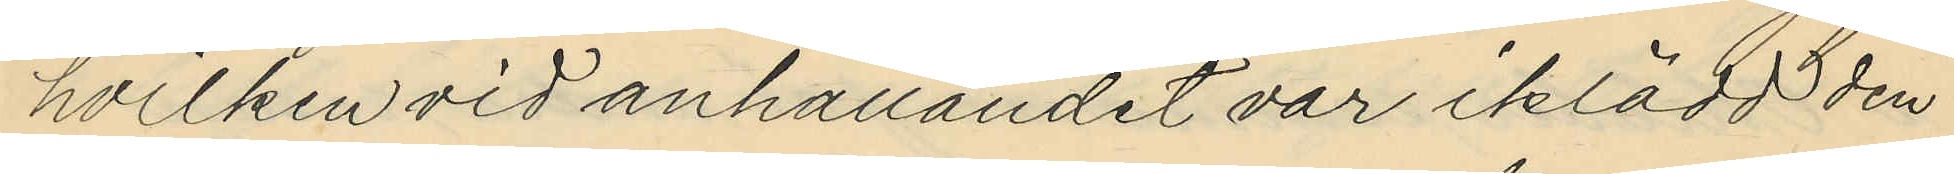hvilken vid anhållandet var iklädd den
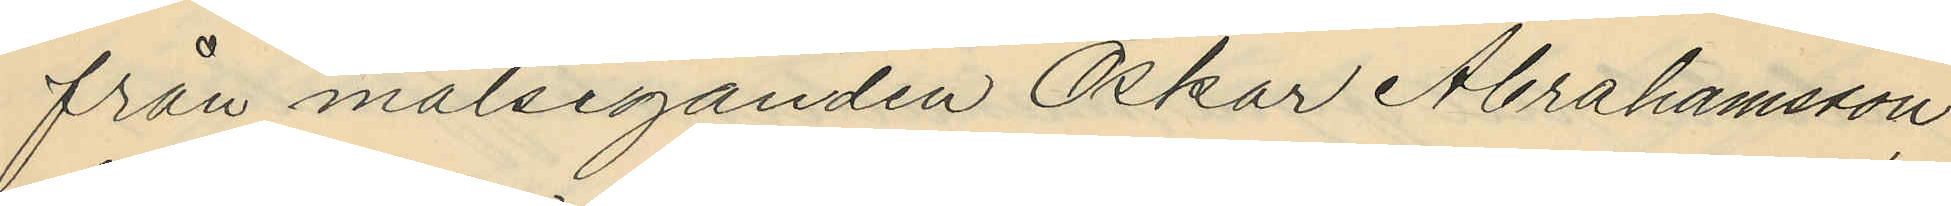från målseganden Oskar Abrahamsson
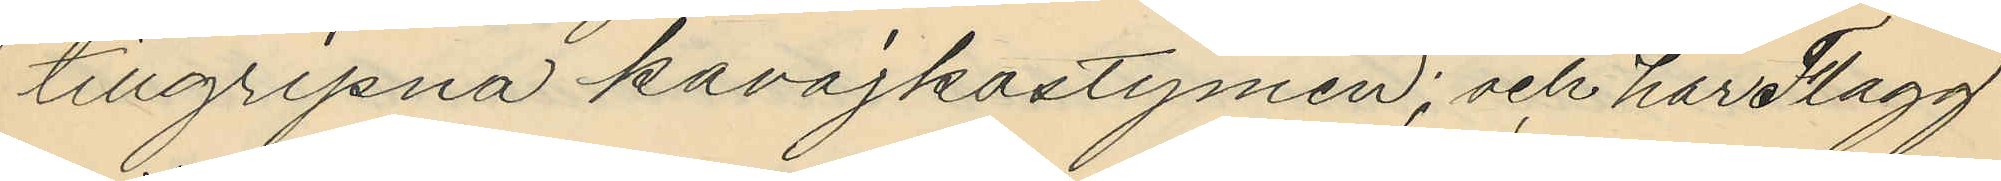tillgripna kavajkostymen; och har Flagg
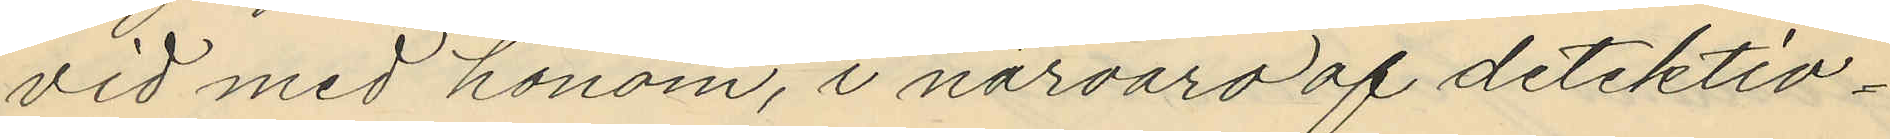vid med honom, i närvaro af detektiv¬
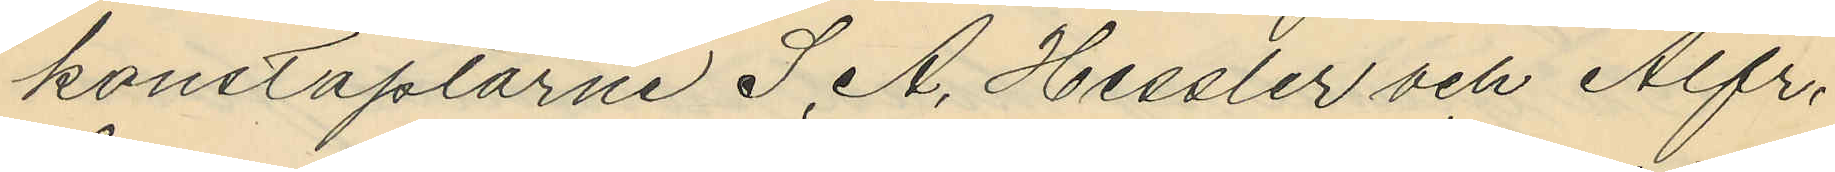konstaplarne S. A. Hessler och Alfr.
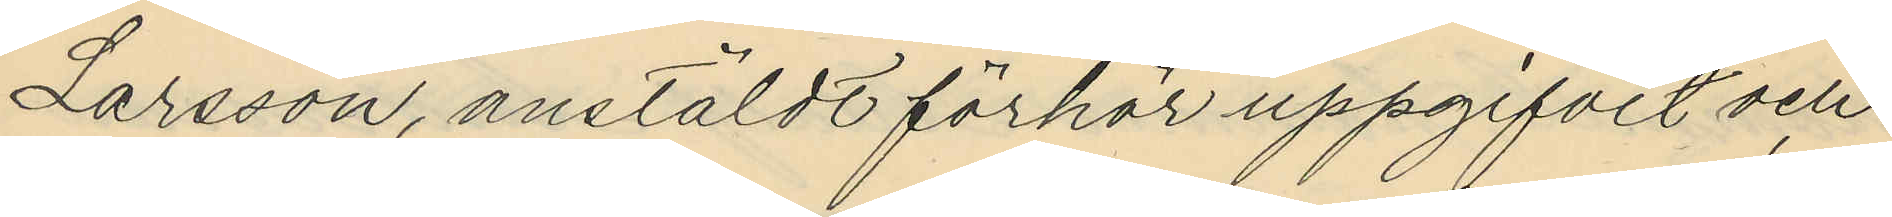Larsson, anstäldt förhör uppgifvit och
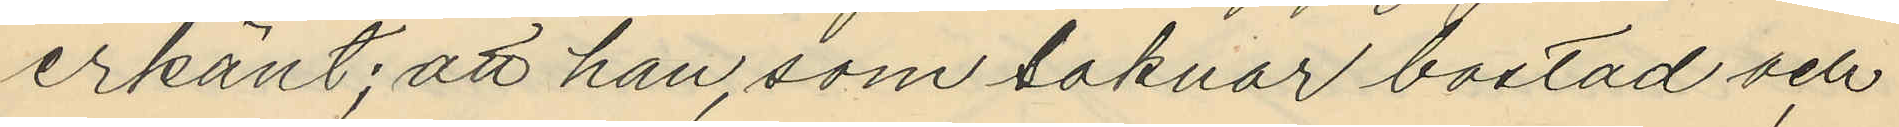erkänt; att han, som saknar bostad och
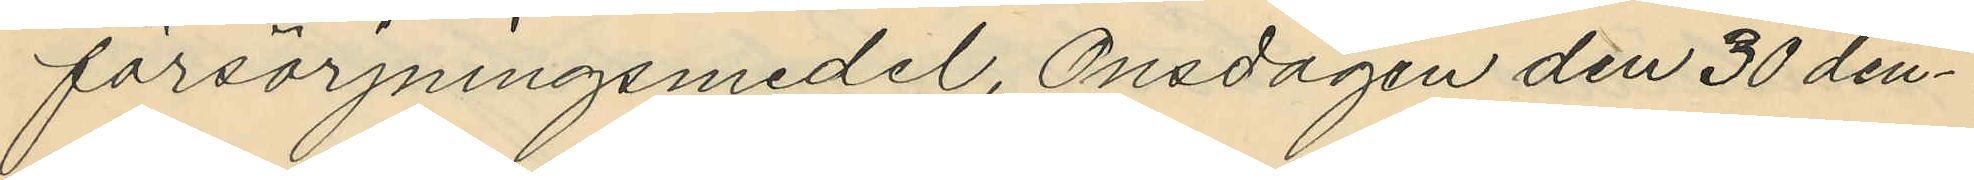försörjningsmedel, Onsdagen den 30 den¬
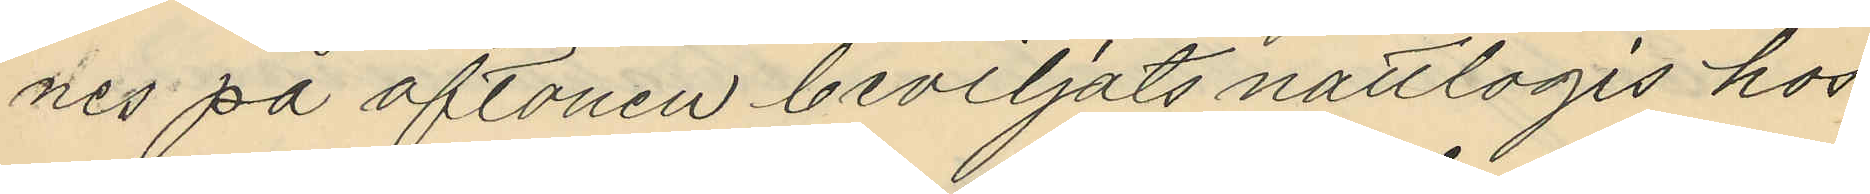nes på aftonen beviljats nattlogis hos
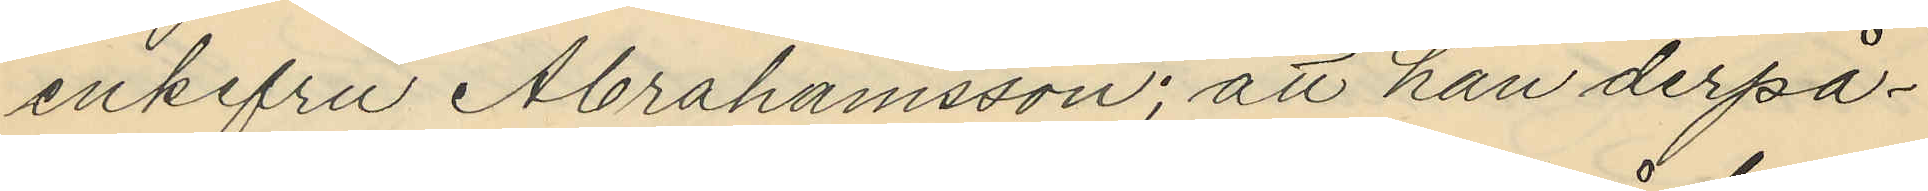enkefru Abrahamsson; att han derpå¬
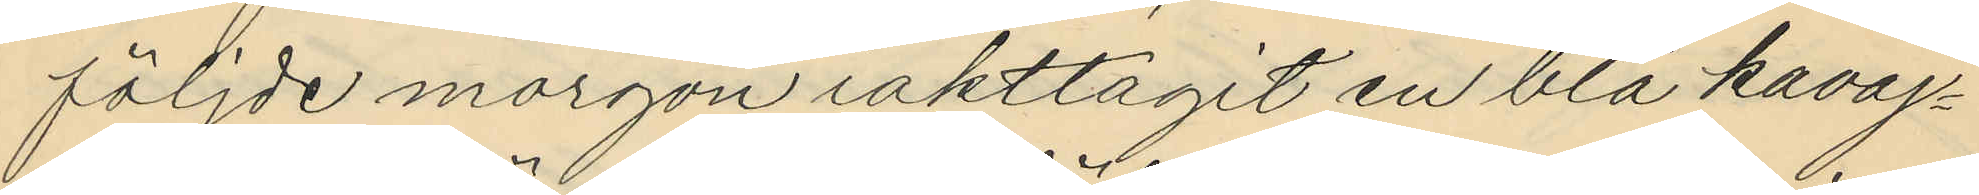följde morgon iakttagit en blå kavaj¬
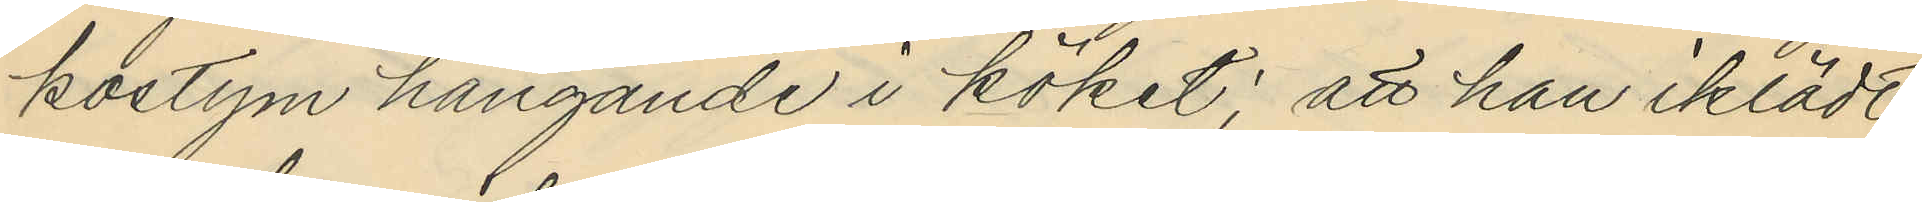kostym hängande i köket; att han iklädt
